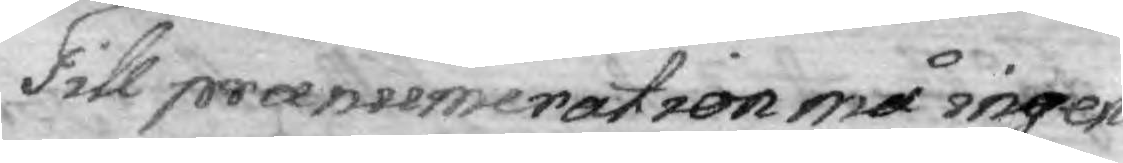Till praenumeration må ingen
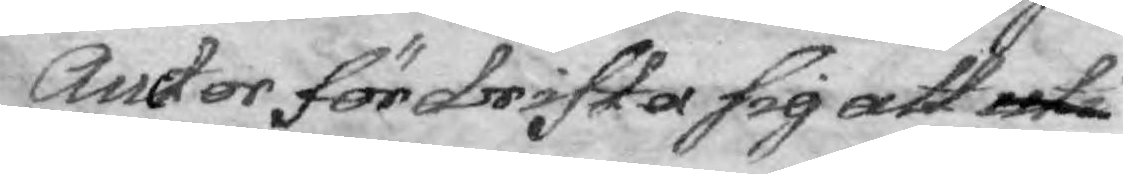Auctor fördrifta sig att uti
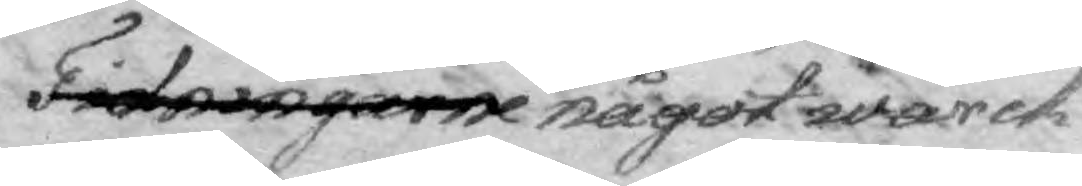Tidningarne något wärck
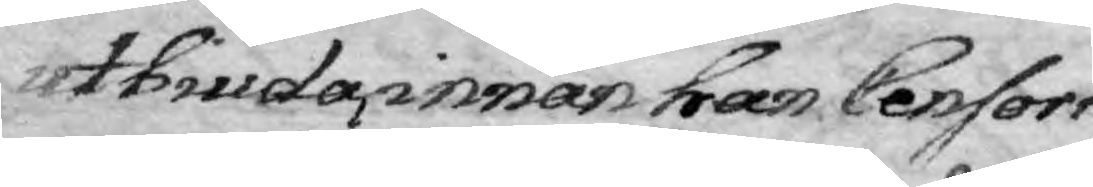utbiuda, innan han Censors
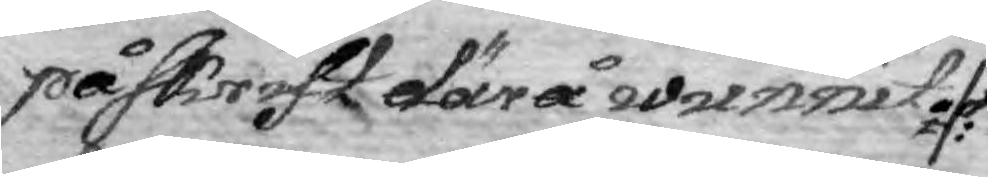påskrift därå wunnit
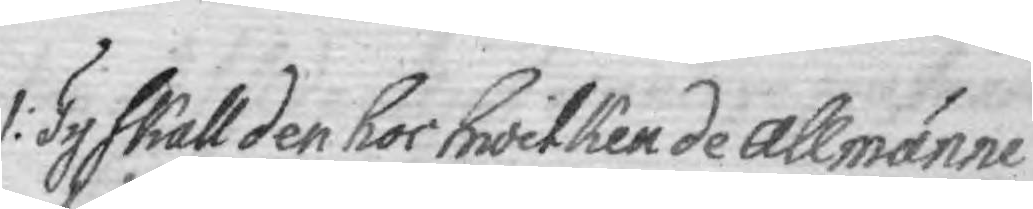1: Ty skall den hos hwilken de Allmänne
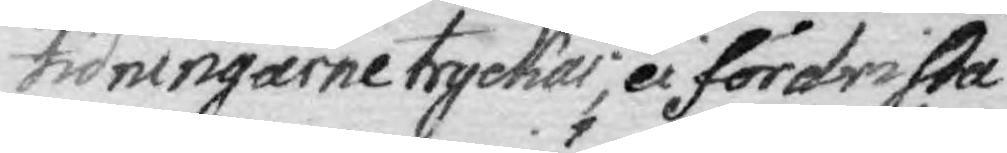tidningarne tryckas, ei fördrista
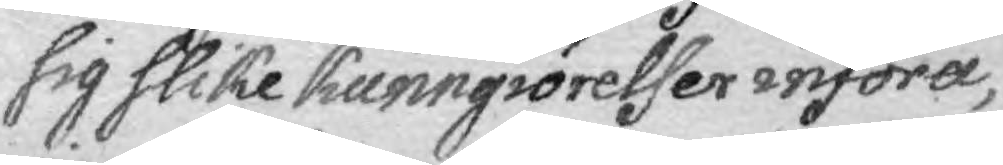sig slike kunnigiörelser införa,
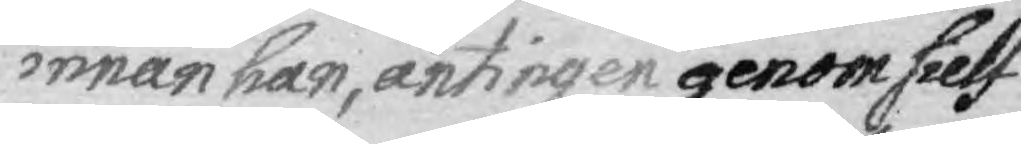innan han, antingen genom sielf¬
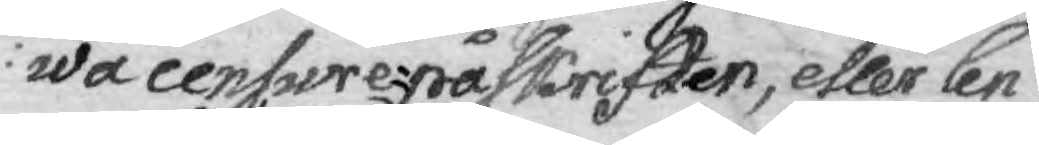wa cenfure-påskriften, eller Cen¬
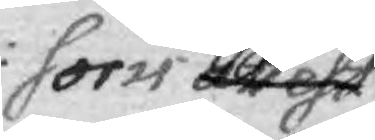sors att eft 
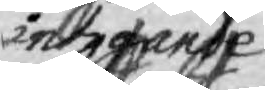intygande
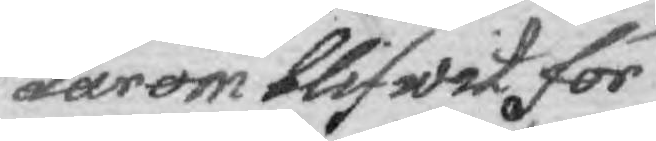därom blifwit för
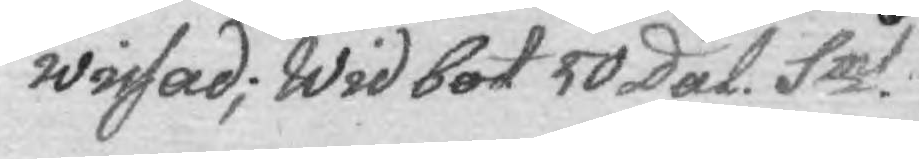wisad; Wid bot 50 Dal. Smt.
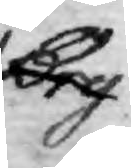Bry¬
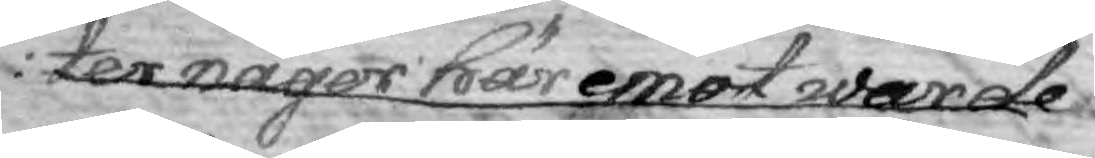ter någor färemot warde
